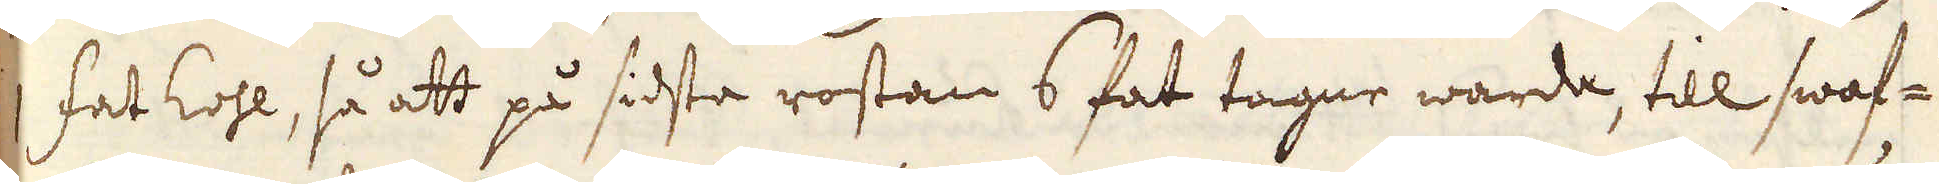1 fat kohl, så att på sidsta rostan 6 fat tagne warda, till swaf-
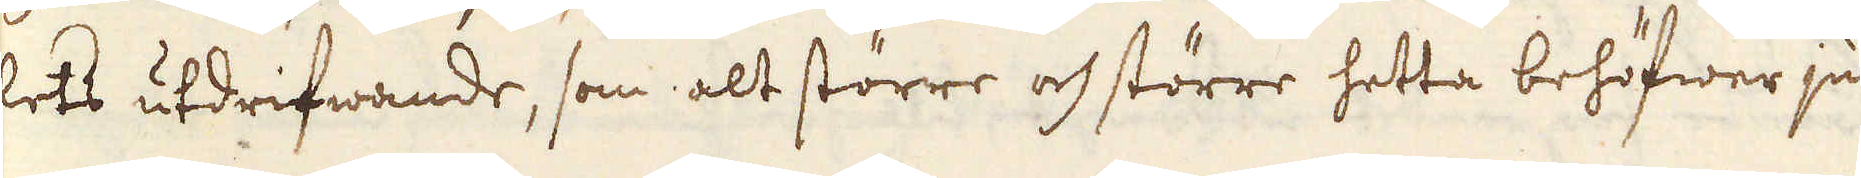lets utdrifwande, som alt större och större hetta behöfwer ju
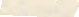mera
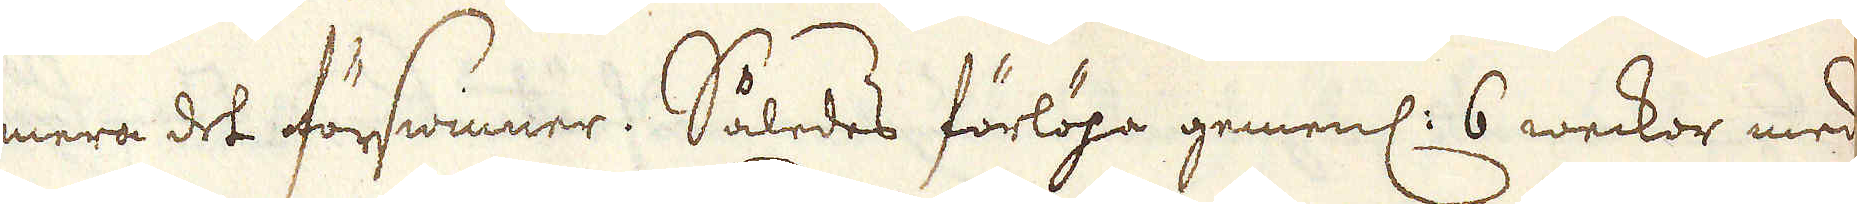mera det förswinner. Således förlöpa gemenl: 6 weckor med
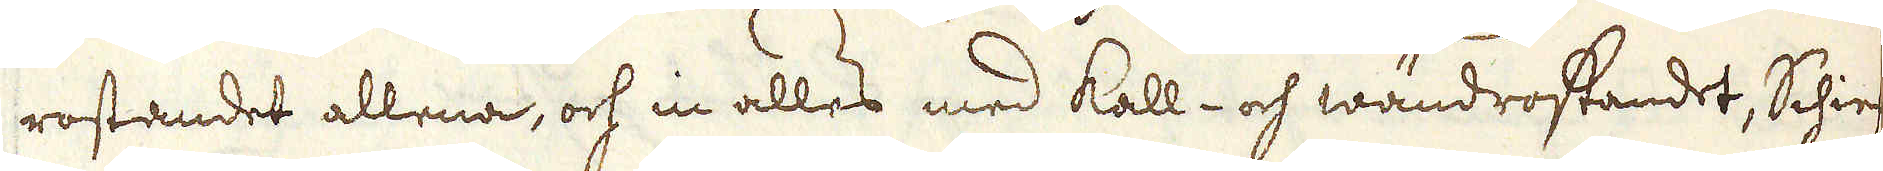rostandet allena, och in alles med kall- och wändrostandet, Schiefer-
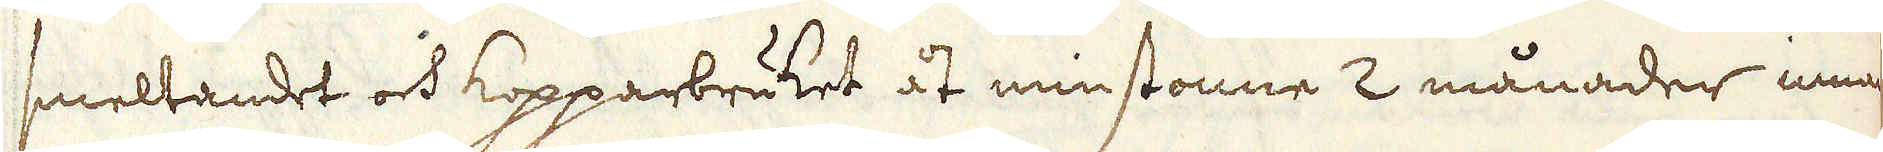smeltandet och kopparbruket åt minstonne 2 månader innan
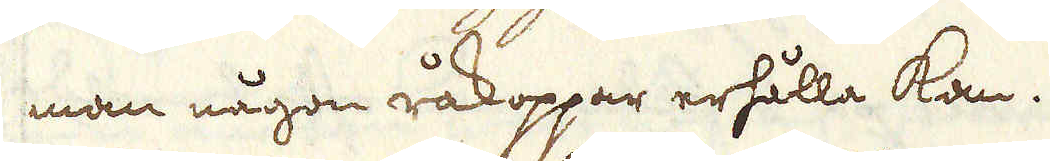man någon råkoppar erhålla kan.
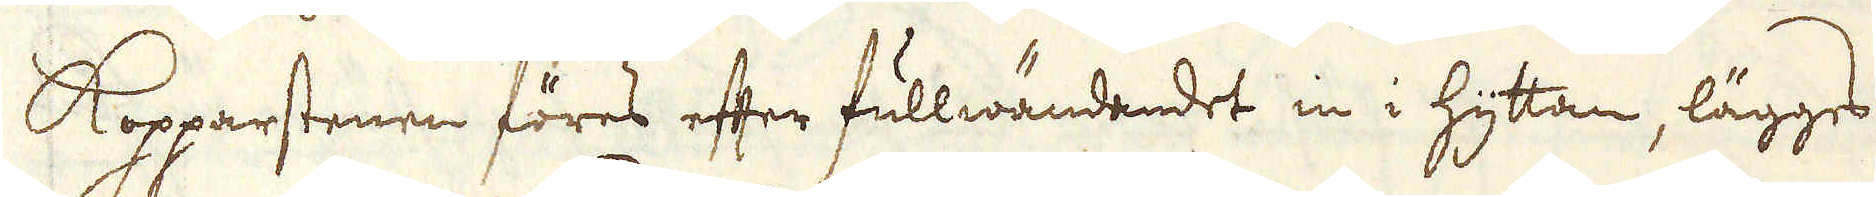Kopparstenen föres efter fullwändandet in i hyttan, lägges i
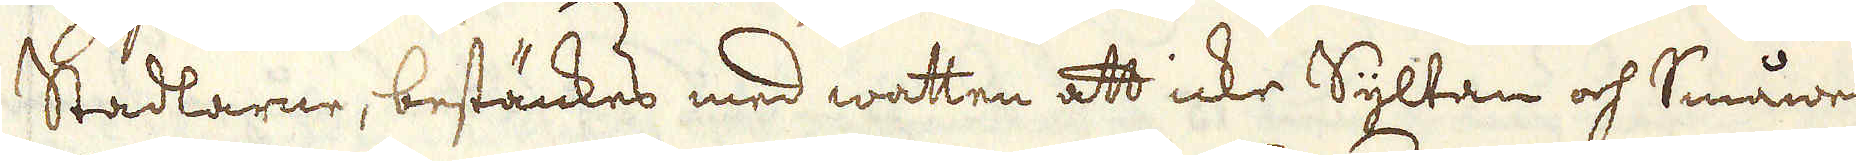Stadlarne, bestänkes med watten att icke Syltan och Småwer-
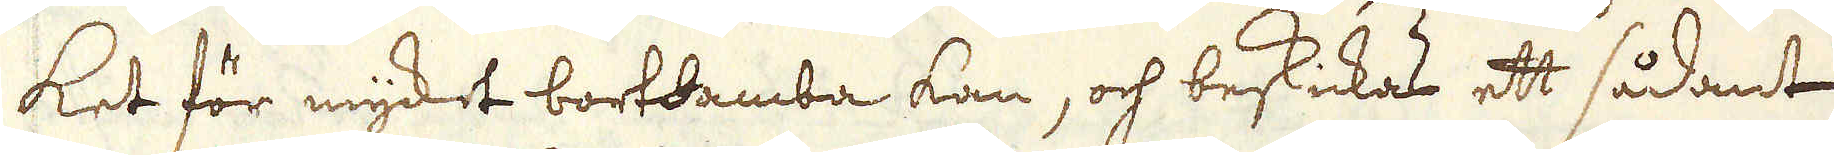ket för myket bortdamba kan, och beskickas ett sådant
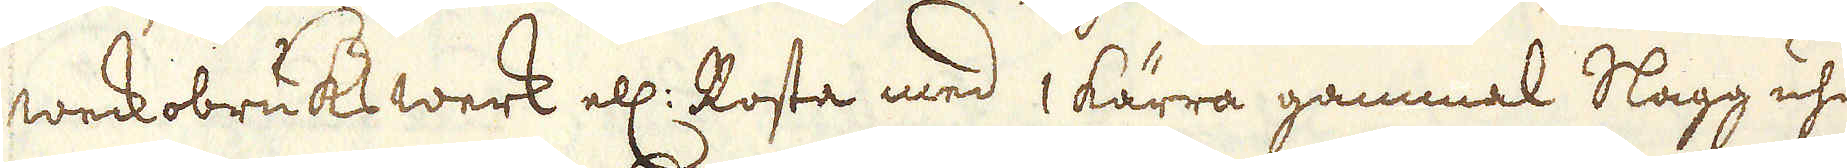weckobruks werk ell: Rosta med 1 kärra gammal Slagg uhr
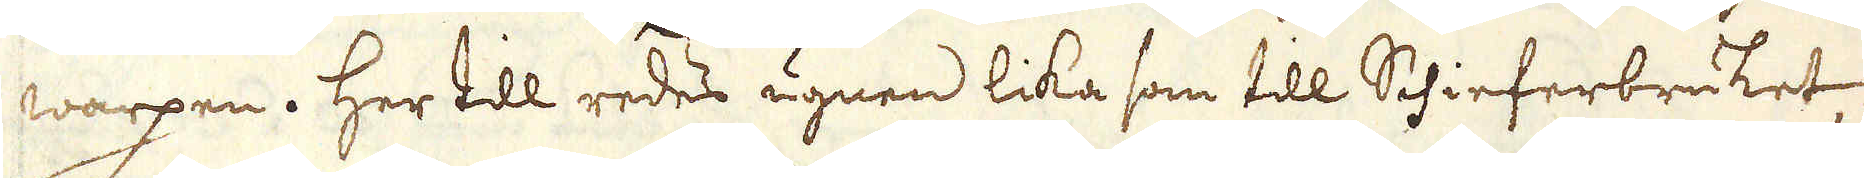warpen. Her till redes ugnen lika som till Schieferbruket,
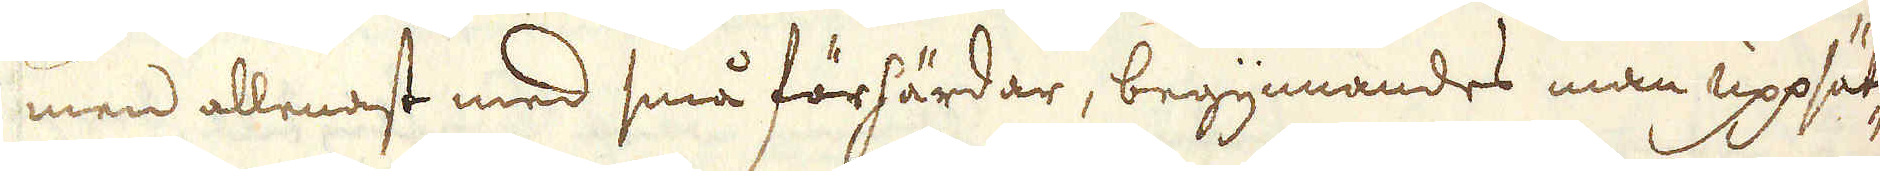men allenast med små förhärdar, begynnandes man uppsät-
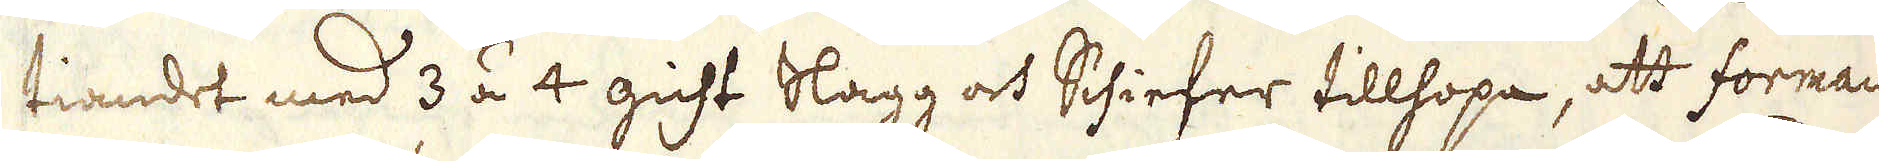tiandet med 3 á 4 gicht Slagg och Schiefer tillhopa, att forman
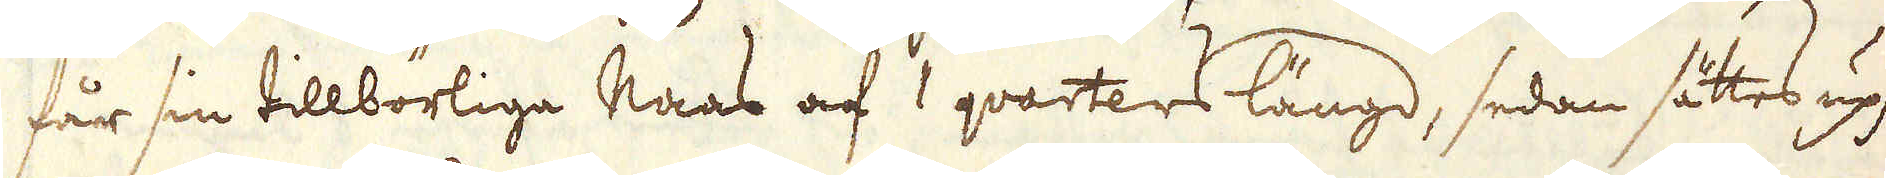får sin tillbörliga Naas af 1 qvarters längd, sedan sättes upp
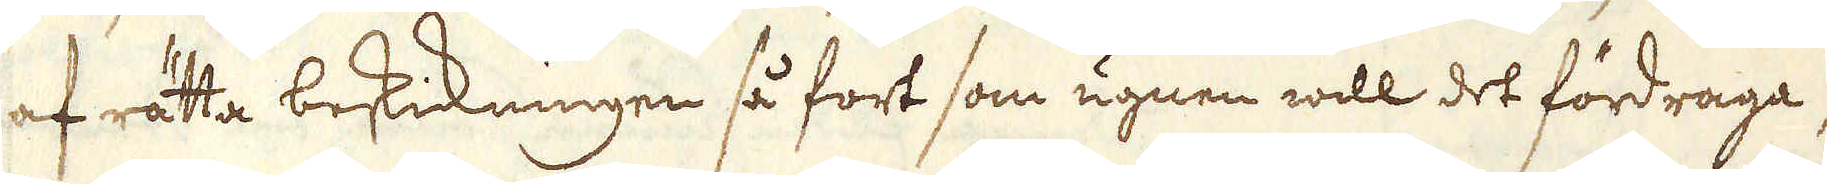af rätta beskickningen så fort som ugnen will det fördraga,
